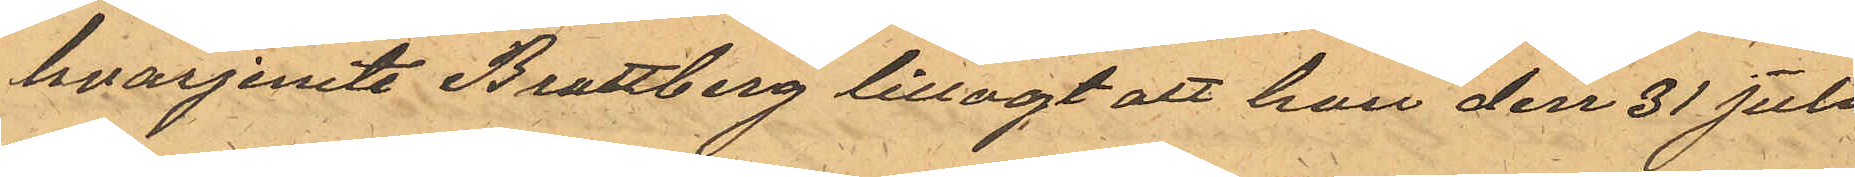hvarjemte Brattberg tillagt att han den 31 Juli
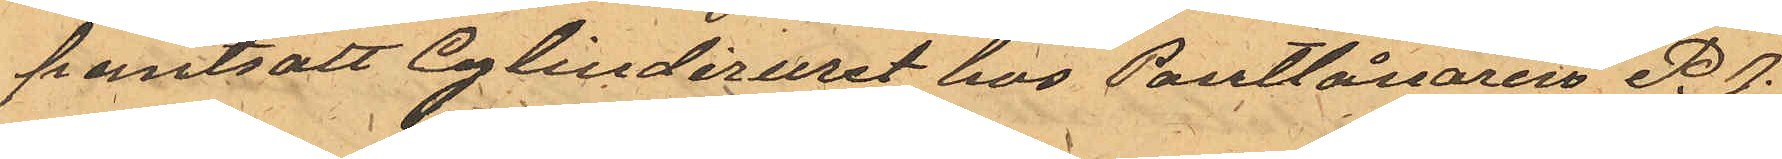pantsatt Cylinderuret hos Pantlånaren P. J.
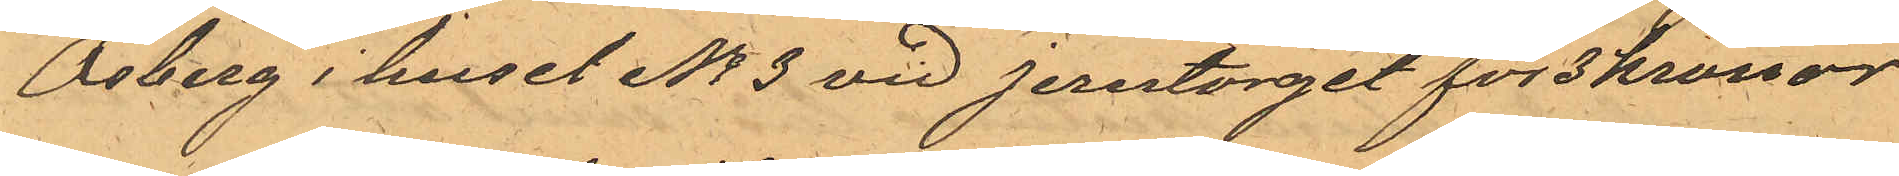Osberg i huset No 3 vid Jerntorget för 3 kronor
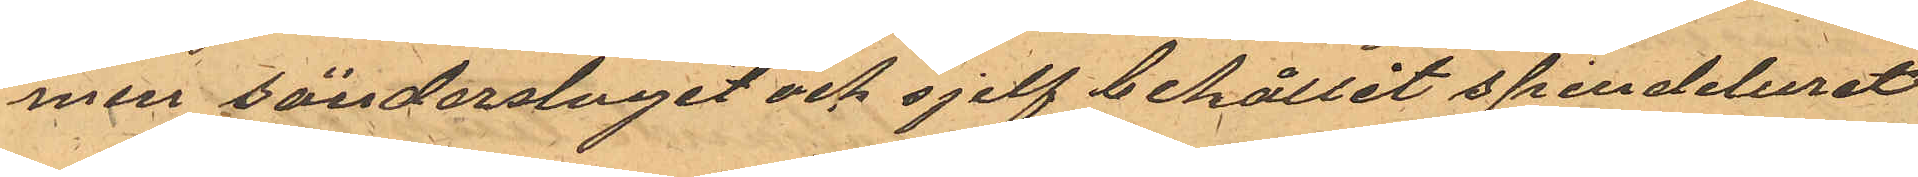men sönderslagit och sjelf behållit spindeluret
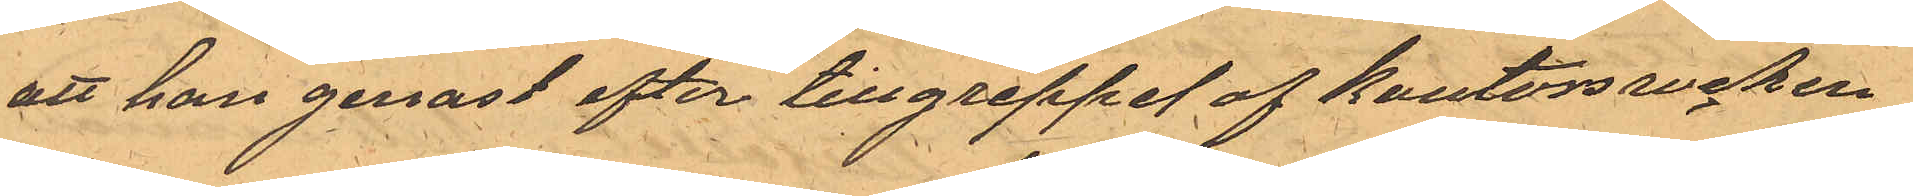att han genast efter tillgreppet af kontorsrocken
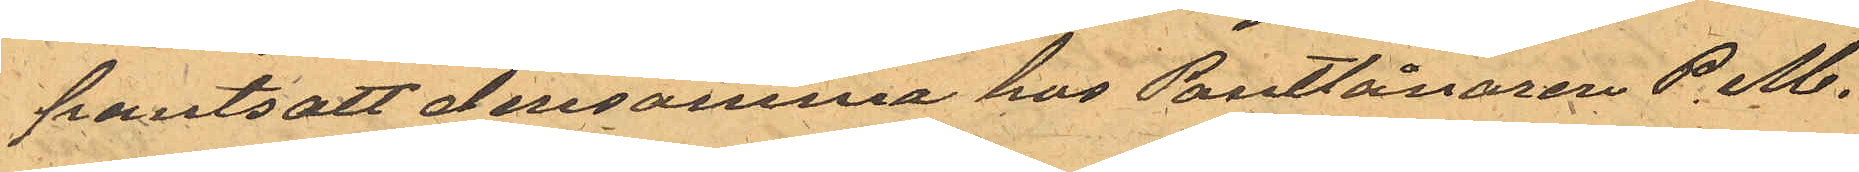pantsatt densamma hos Pantlånaren P M.
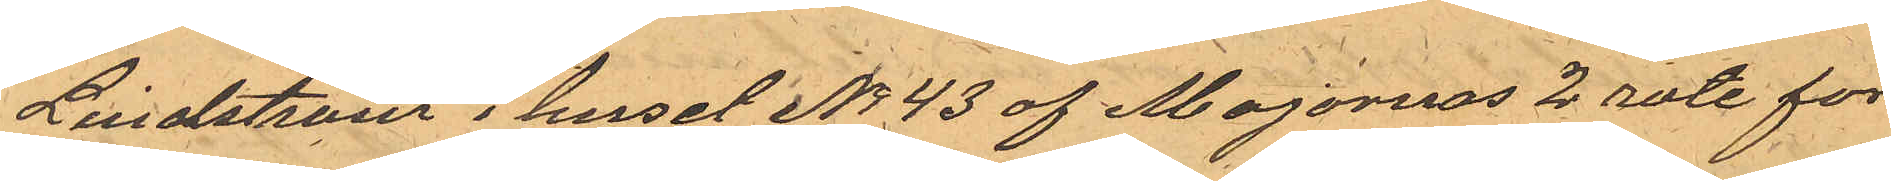Lindström i huset No 43 af Majornas 2 rote för
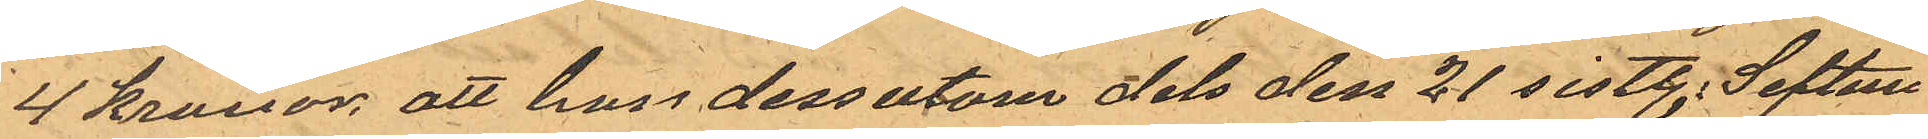4 kronor, att han dessutom dels den 21 sistl. Septem¬
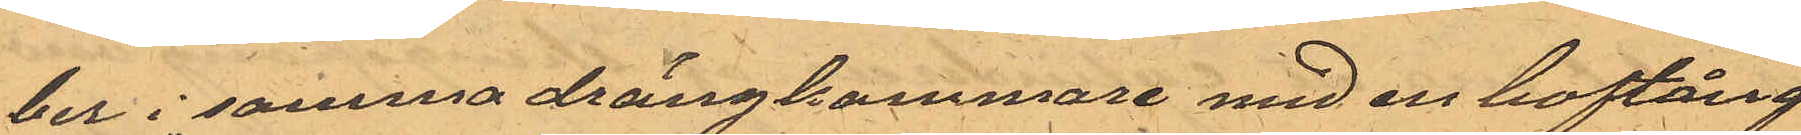ber i samma drängkammare med en hoftång
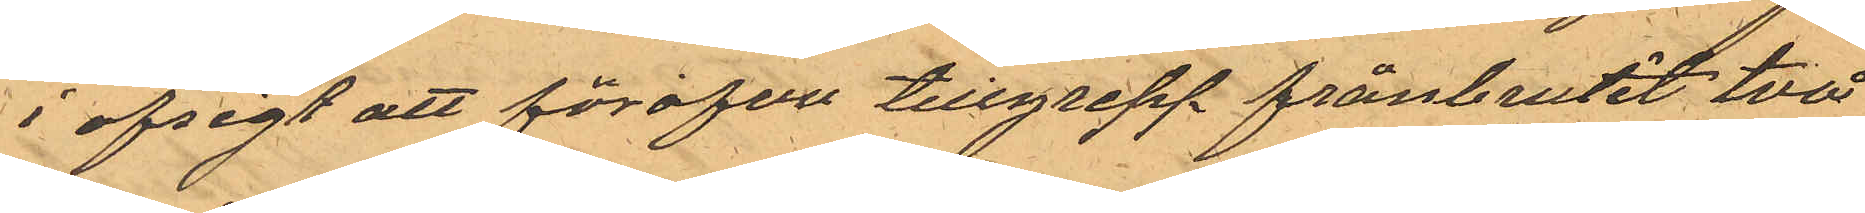i afsigt att föröfva tillgrepp frånbrutit två
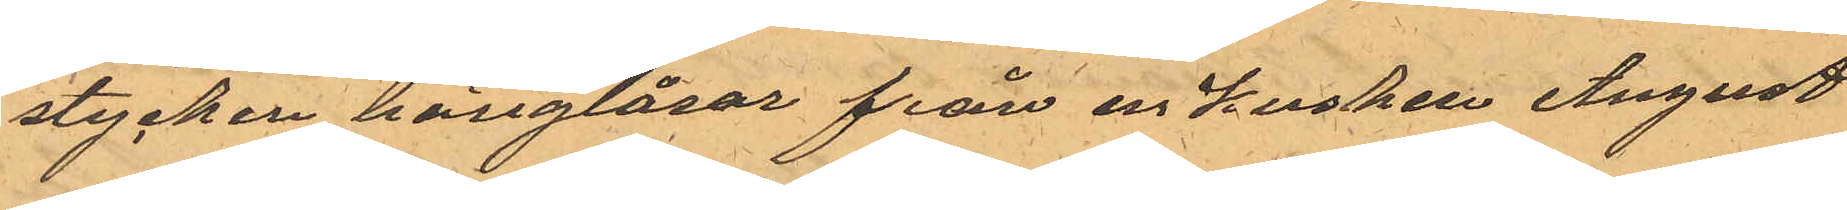stycken hänglåsar från en Kusken August
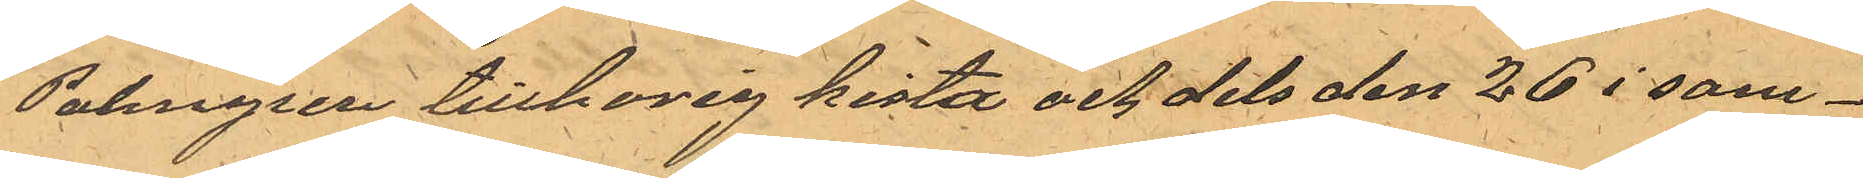Palmgren tillhörig kista och dels den 26 i sam¬
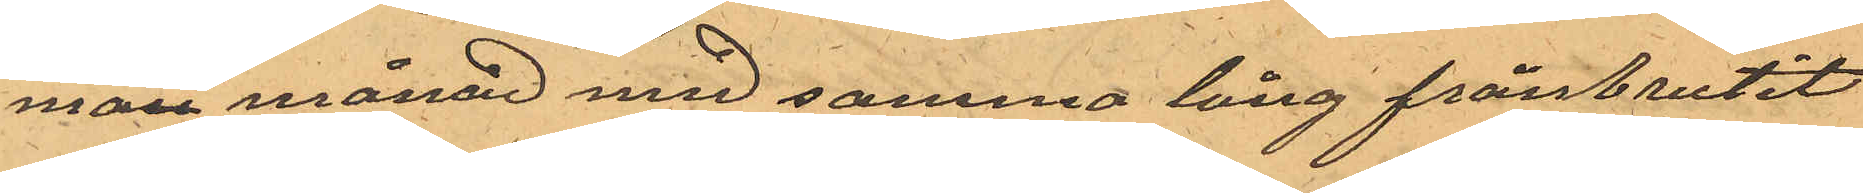man månad med samma tång frånbrutit
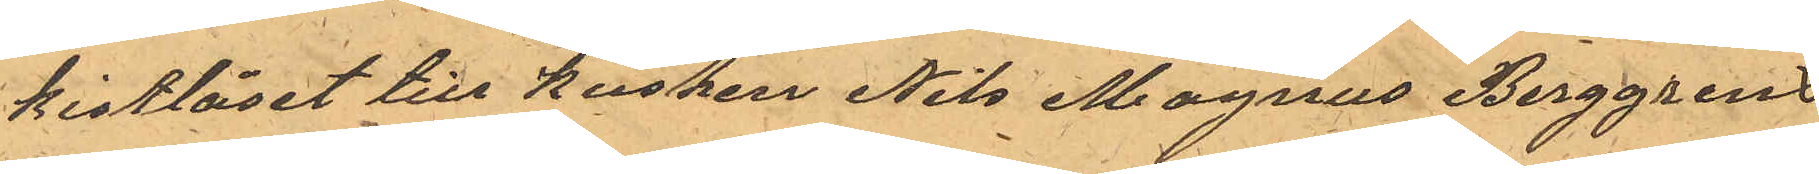kistlåset till kusken Nils Magnus Berggrens
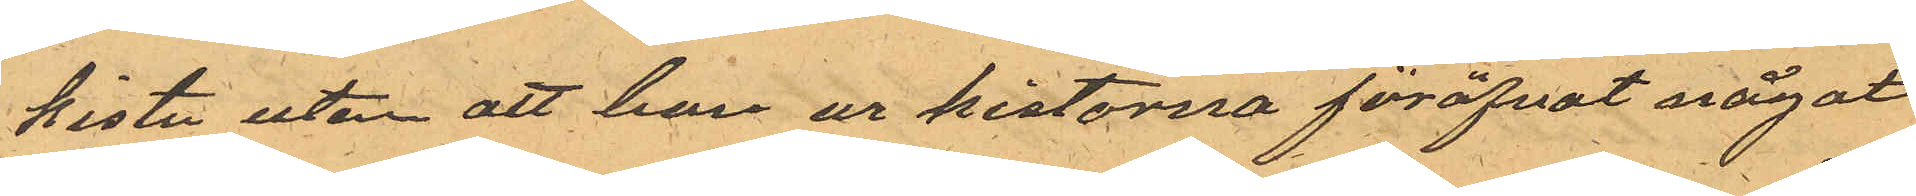kista utan att han ur kistorna föröfvat något
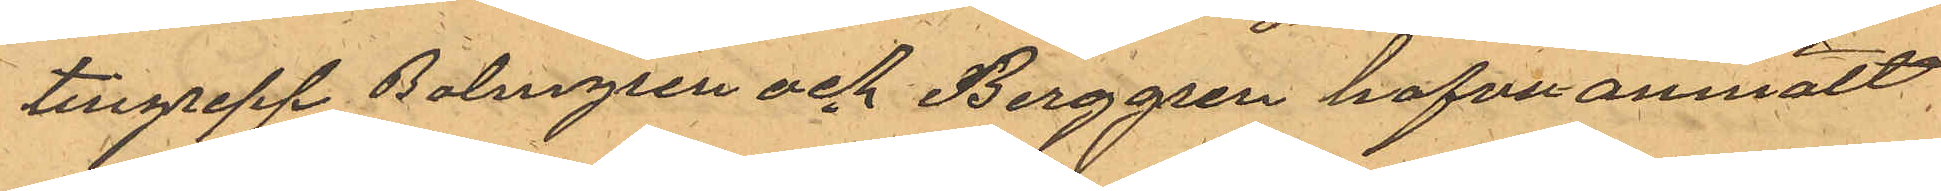tillgrepp Balmgren och Berggren hafva anmält:
